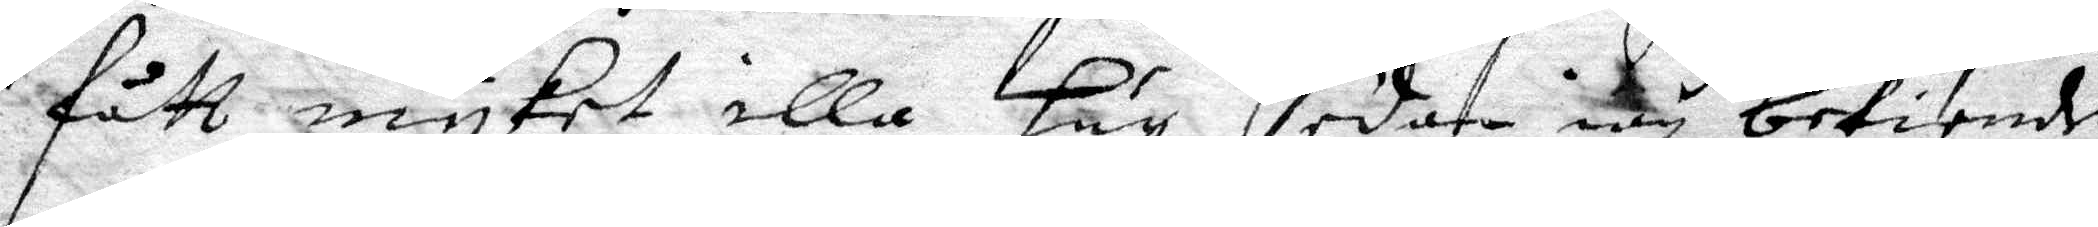fått myket illa här sedan iag bekiende
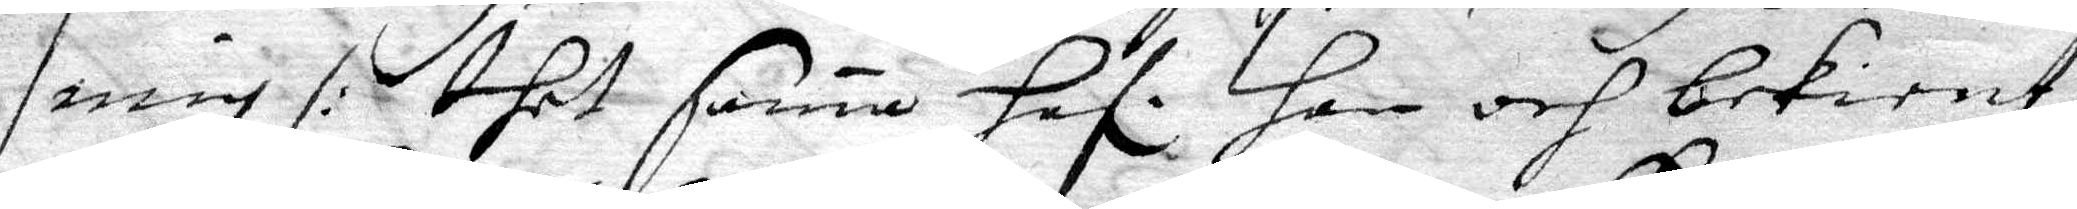mig /: thet sama haf. Hon och bekient 
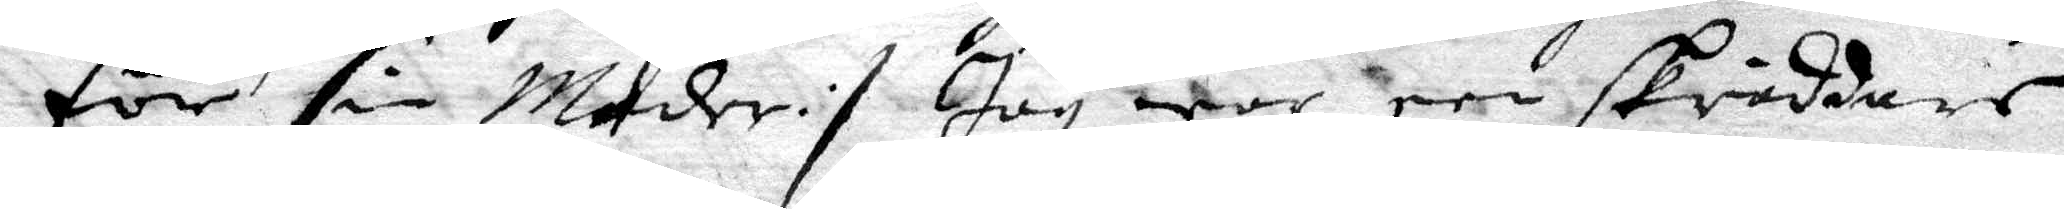för sin Moder :/ Jag war een skräddare
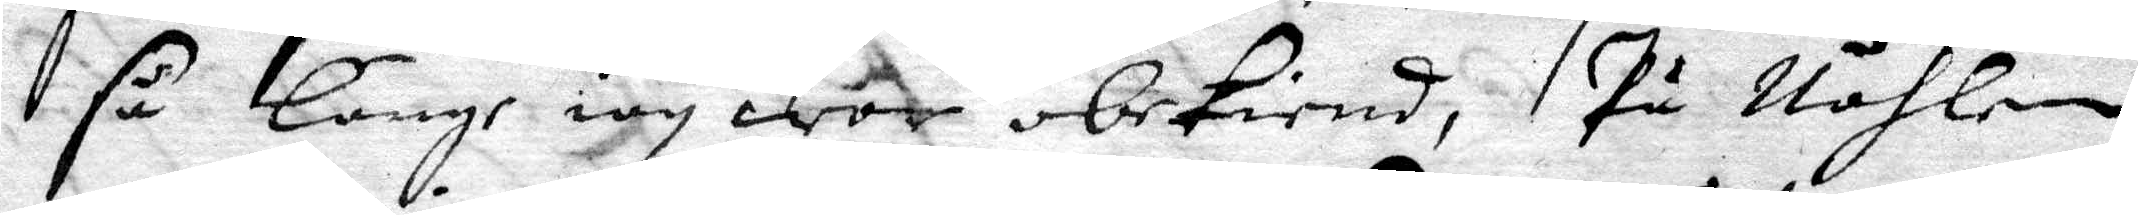så länge iag war obekiend, På Nåhlen
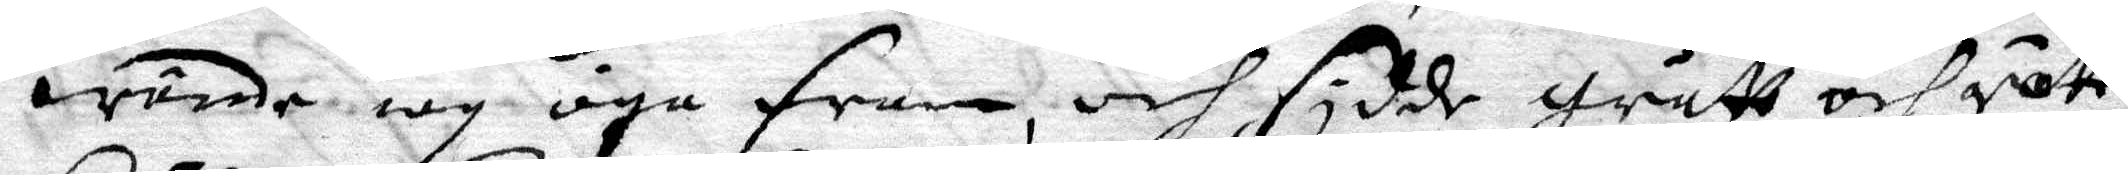wände iag öga fram, och sydde grått och rött
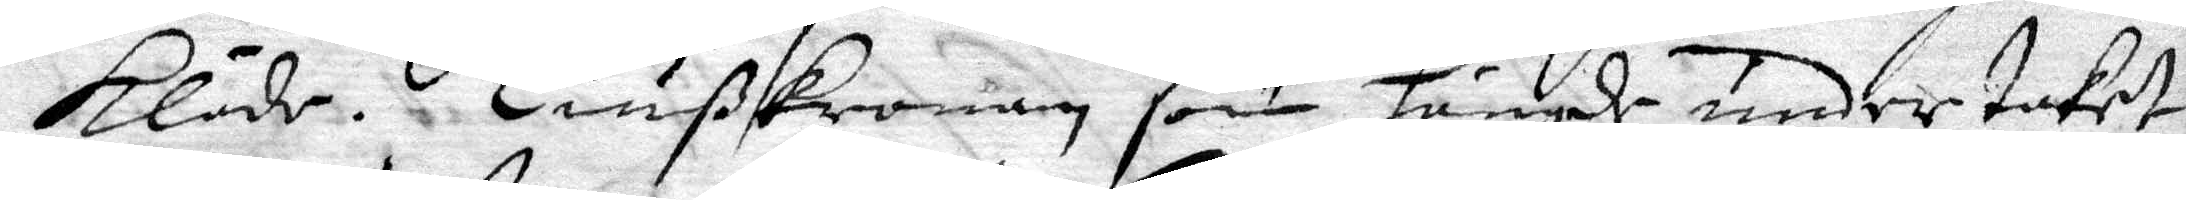kläde. Liußkronan som hängde under taket
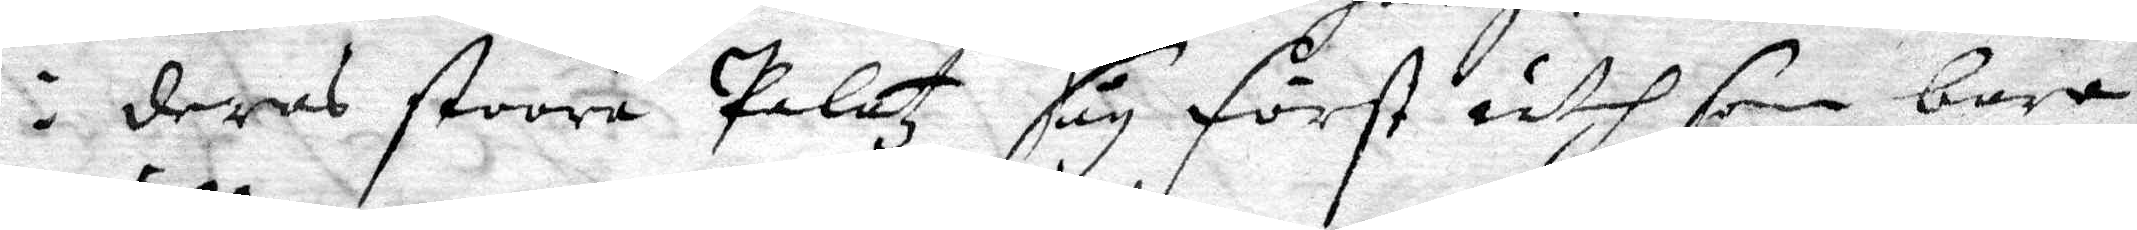i deras stoora Palatz såg först uth som bara
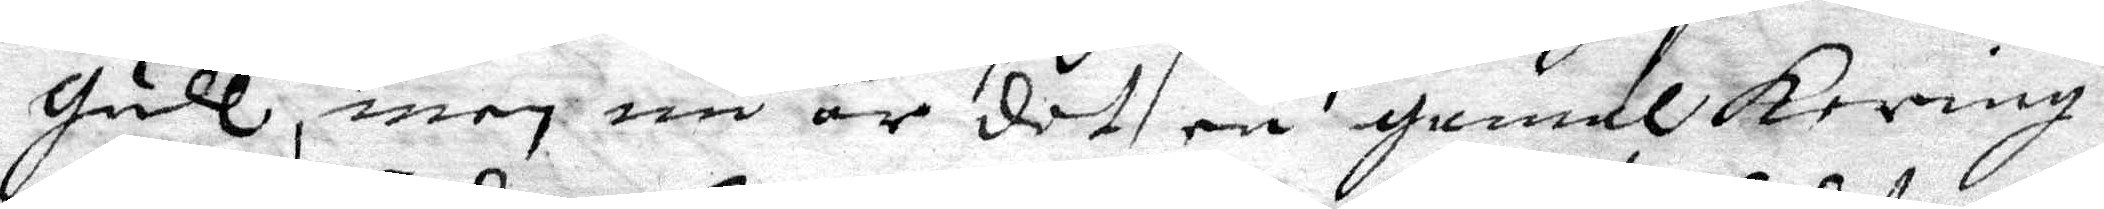gull, men nu är det en gamal kering
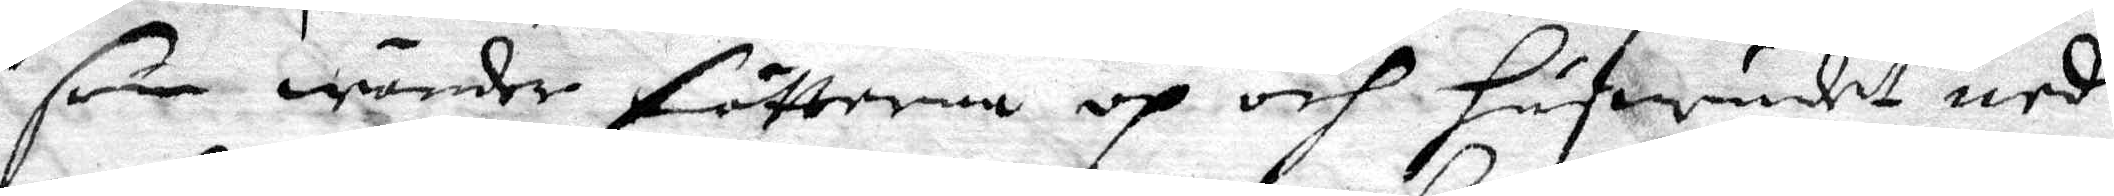som wänder fötterna op och hufwudet ned
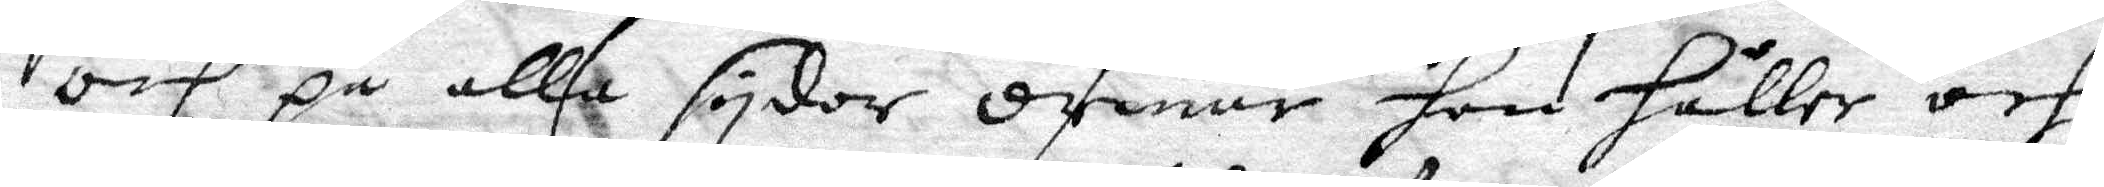och på alla sydor ormar hon håller och
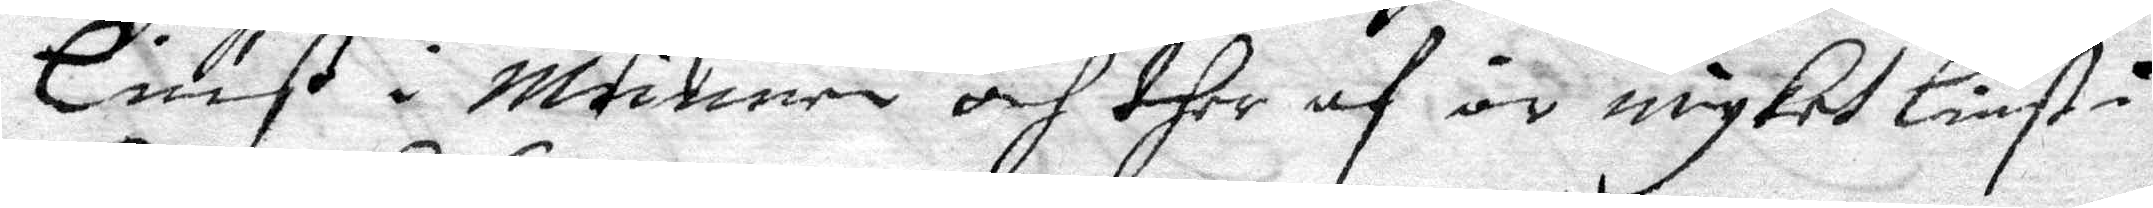Liuß i Munnen och ther af är myket liust i
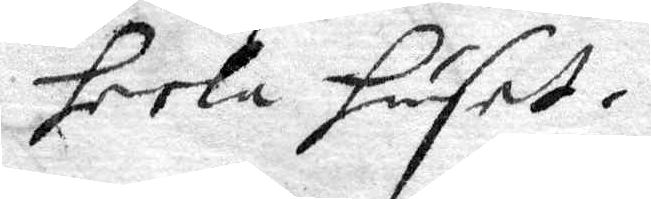heela huset.
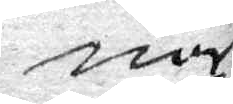när
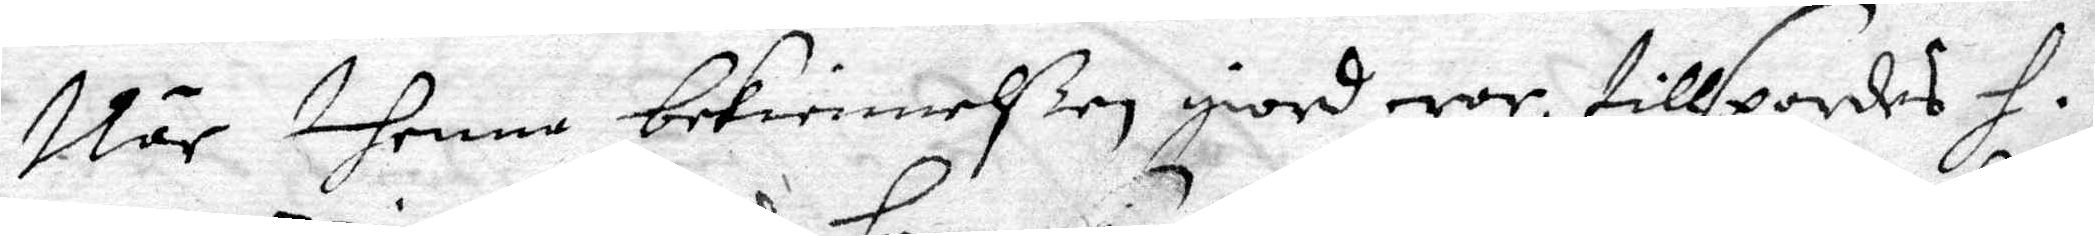När thenne bekiennelßen giord war, tillspordes H. 
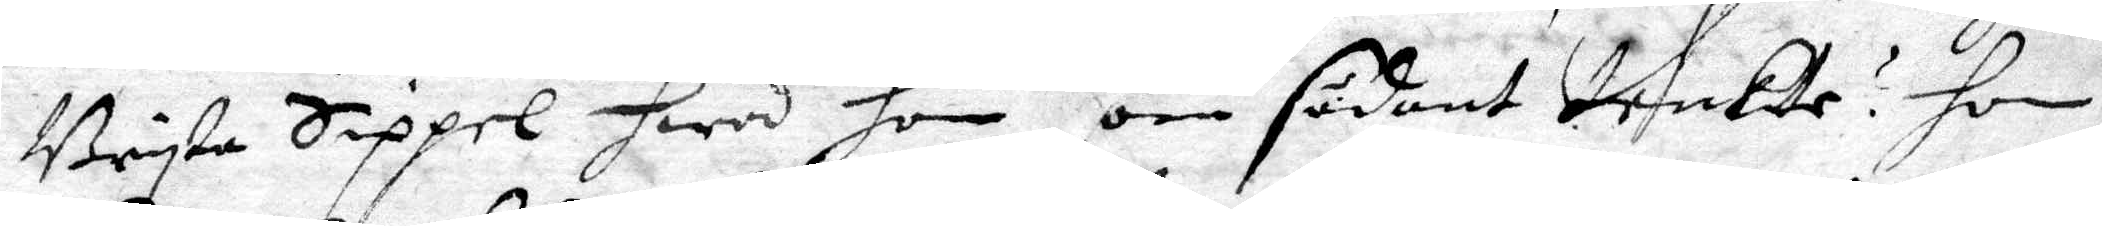Bryta Sippel hwad hon om sådant tenkte? hon
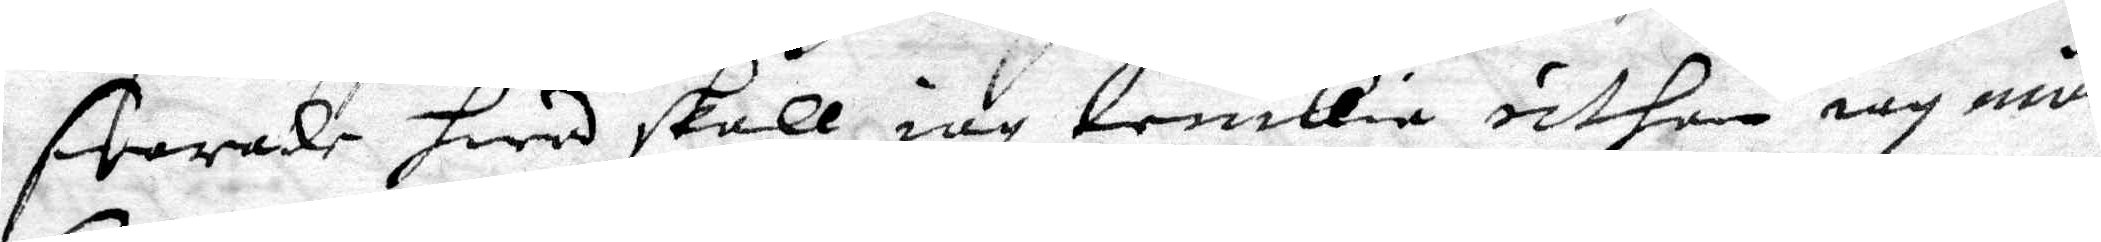swarade hwad skall iag tenkia uthan iag må
